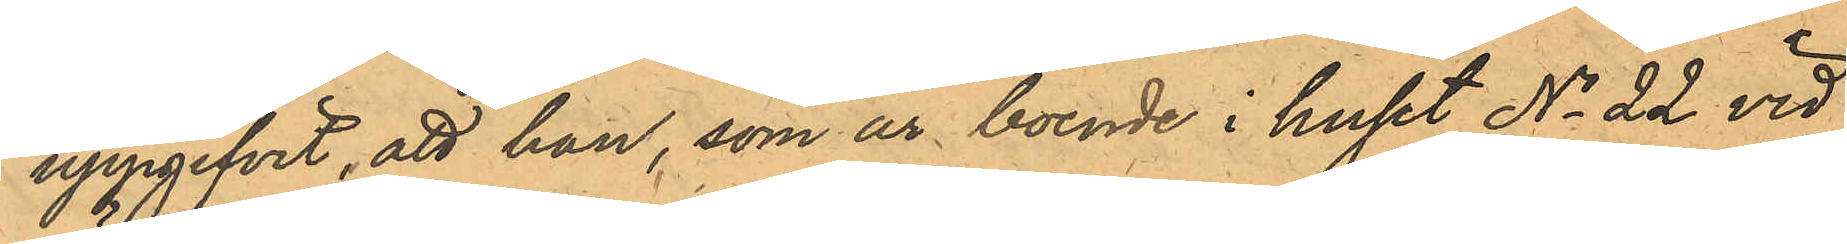uppgifvit, att han, som är boende i huset No 22 vid
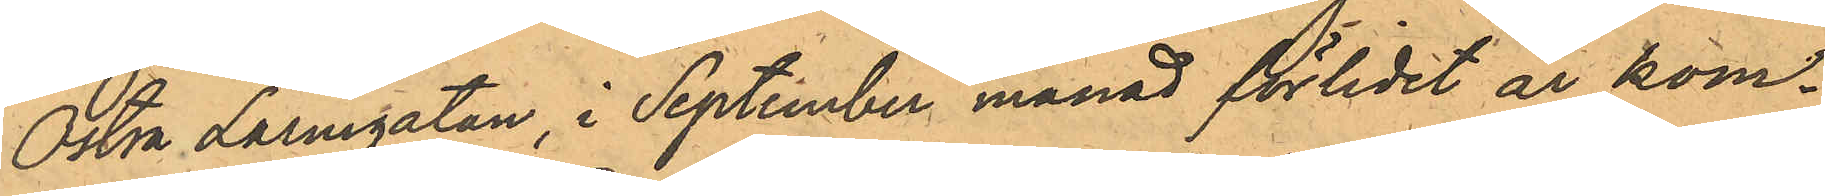Östra Larmgatan i September månad förlidet år kom¬
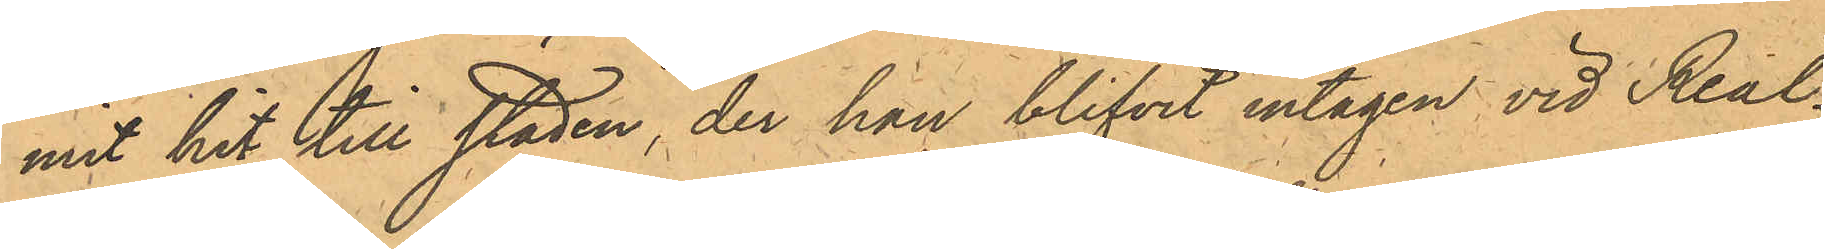mit hit till staden, der han blifvit intagen vid Real¬
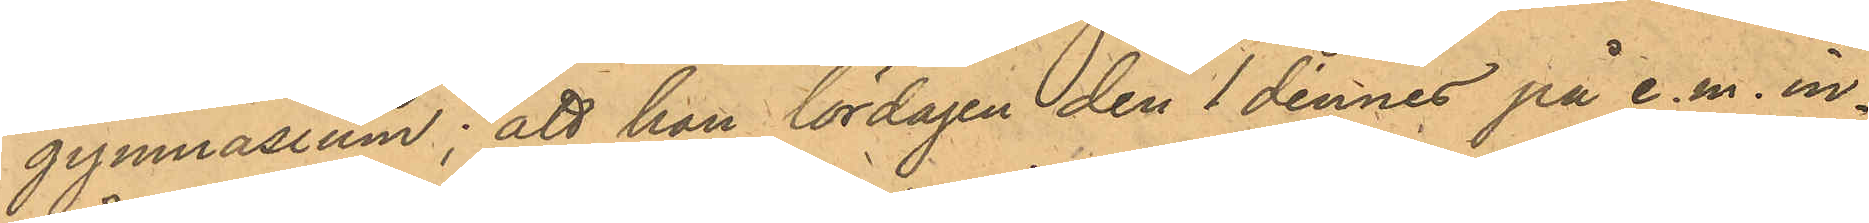gymnasium; att han lördagen den 1 dennes på e.m. in¬
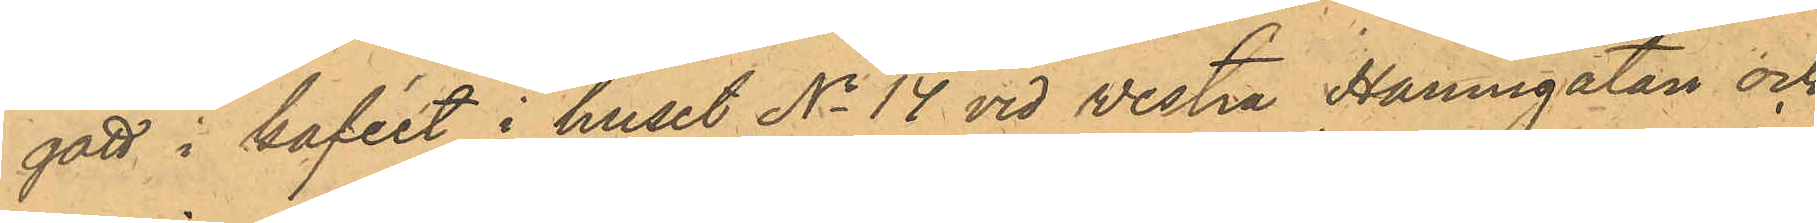gått i kaféet i huset No 14 vid Vestra Hamngatan och
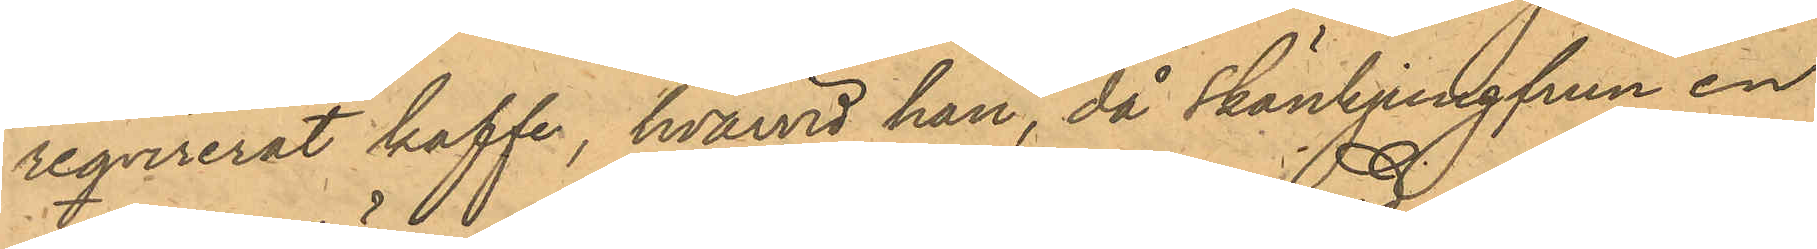reqvirerat kaffe, hvarvid han, då skänkjungfrun en
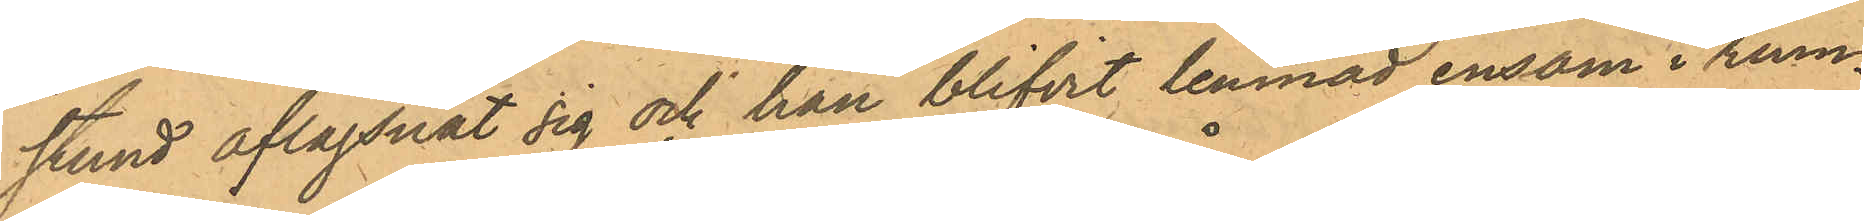stund aflägsnat sig och han blifvit lemnad ensam i rum¬
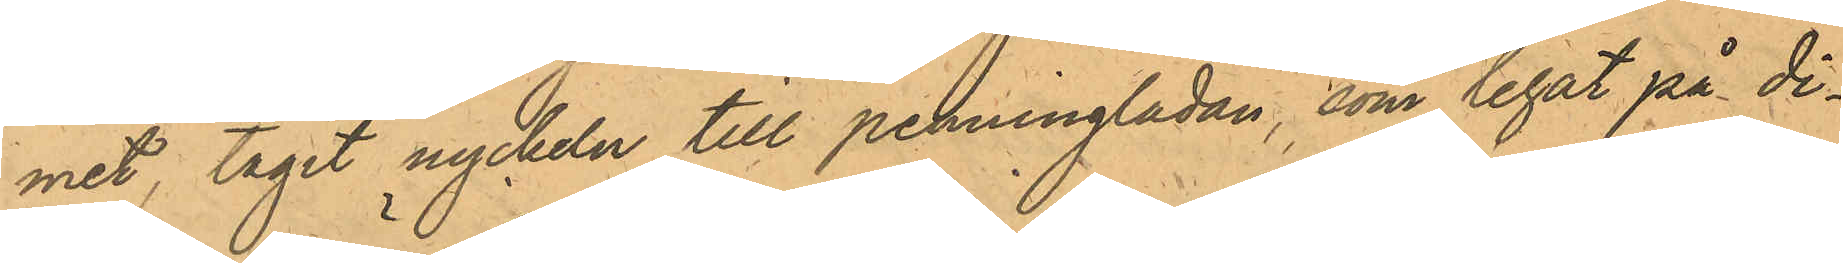met, tagit nyckeln till penninglådan, som legat på di¬
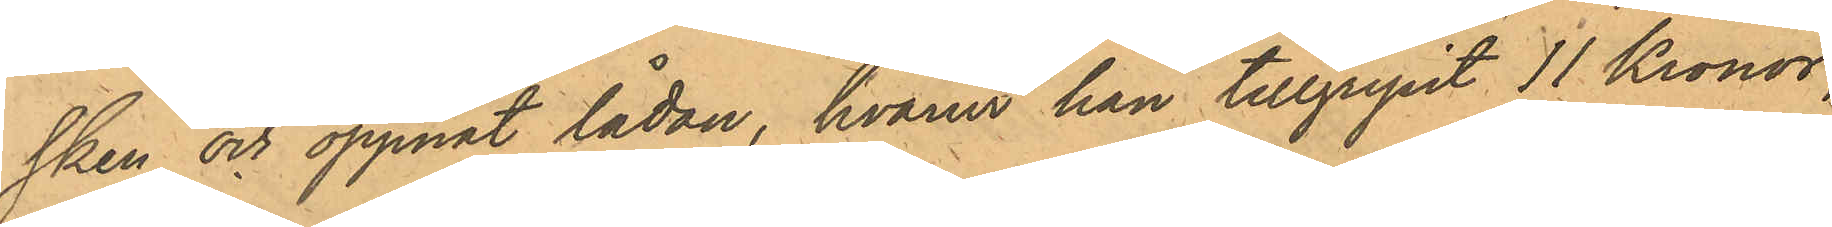sken och öppnat lådan, hvarur han tillgripit 11 Kronor;
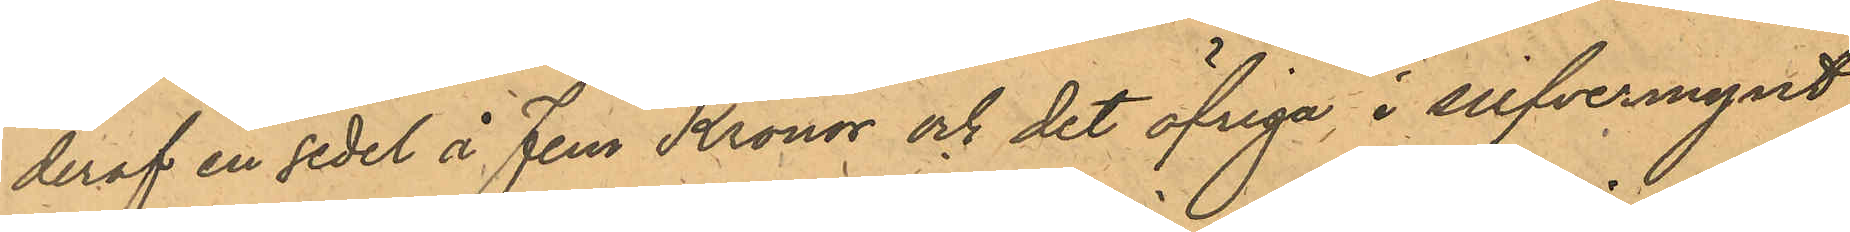deraf en sedel å Fem Kronor och det öfriga i silfvermynt,
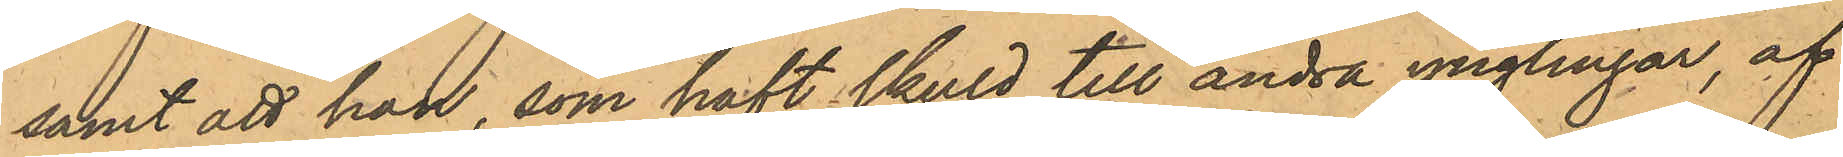samt att han, som haft skuld till andra ynglingar, af
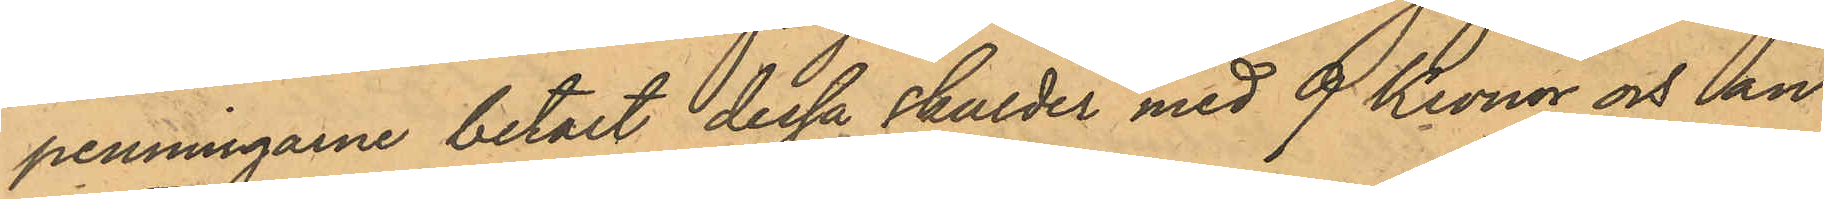penningarne betalt dessa skulder med 9 Kronor och an¬
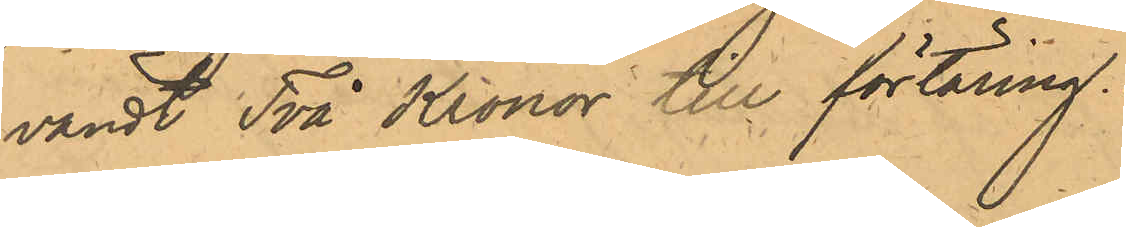vändt Två Kronor till förtäring.
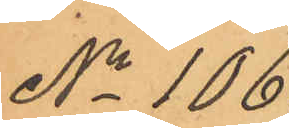No 106.
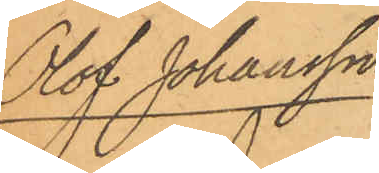Olof Johansson
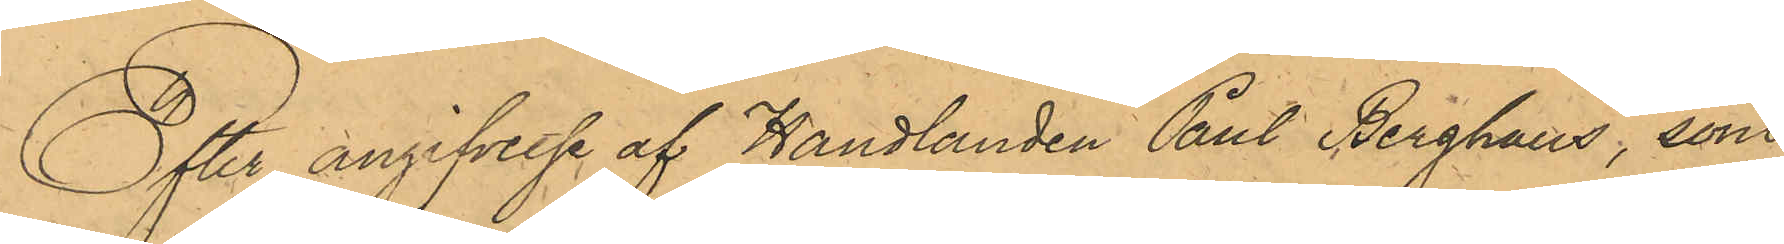Efter angifvelse af Handlanden Paul Berghaus, som
